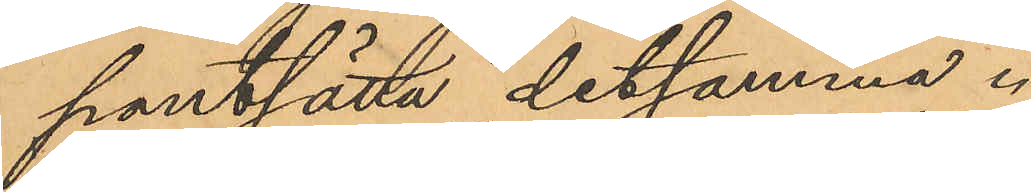pantsätta detsamma.
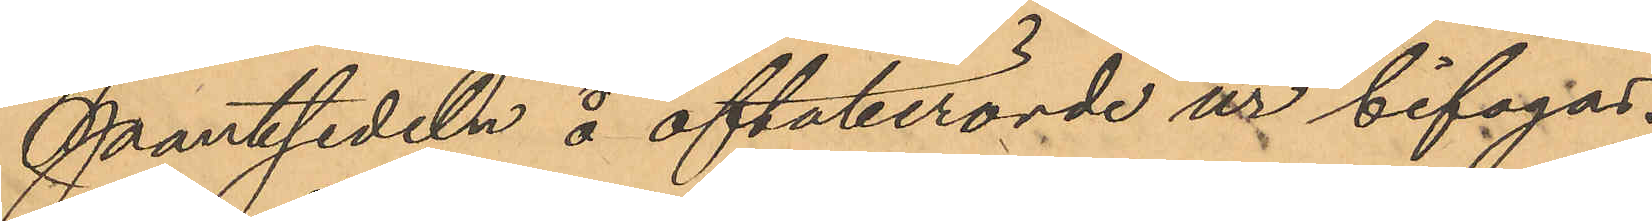Pantsedeln å oftaberörde ur bifogas.
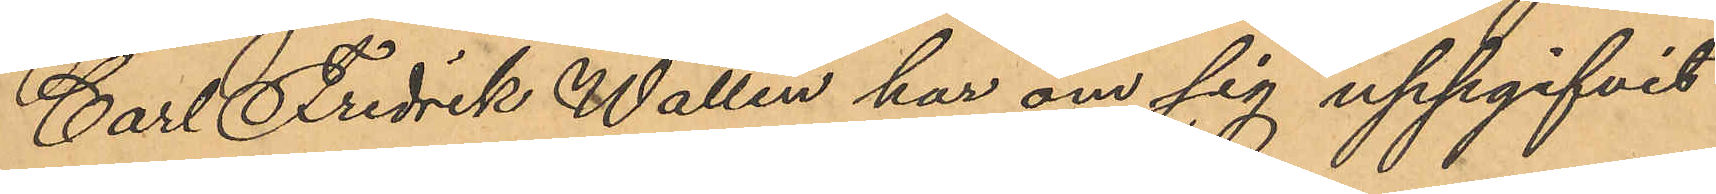Carl Fredrik Wallin har om sig uppgifvit
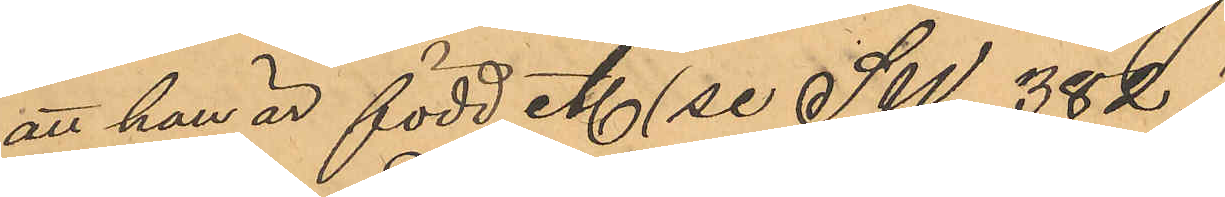att han är född etc (se SW/6 382.)
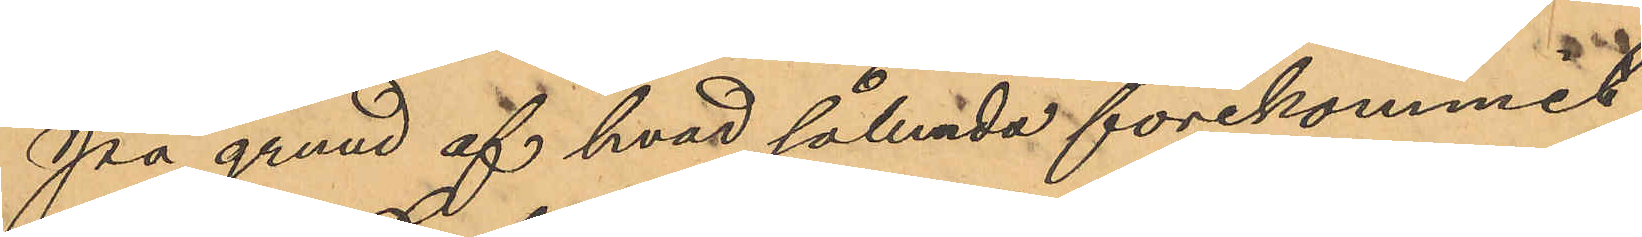På grund af hvad sålunda förekommit
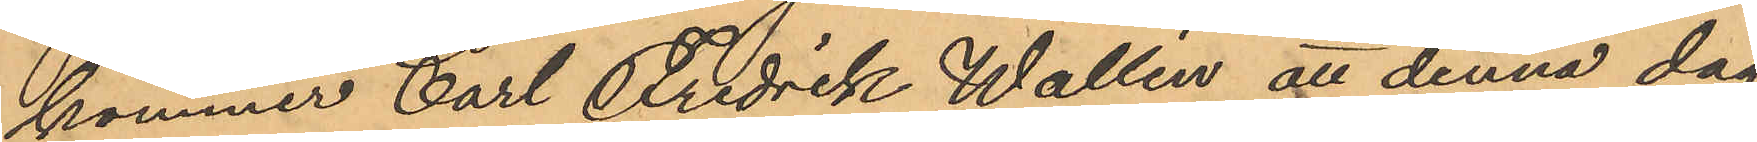kommer Carl Fredrik Wallin att denna dag
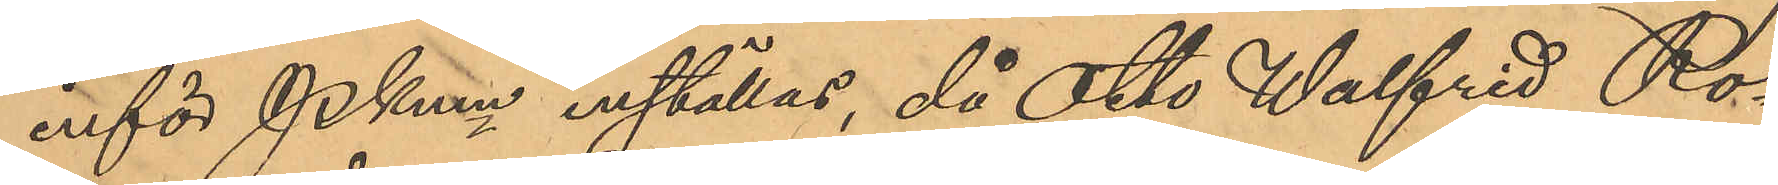inför PKmn inställas, då Otto Walfrid Ro¬
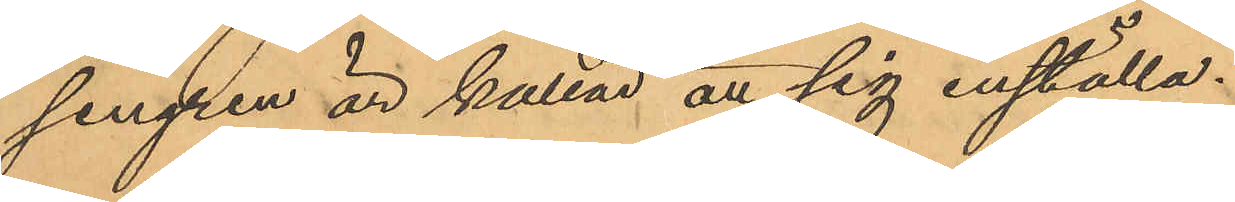sengren är kallad att sig inställa.
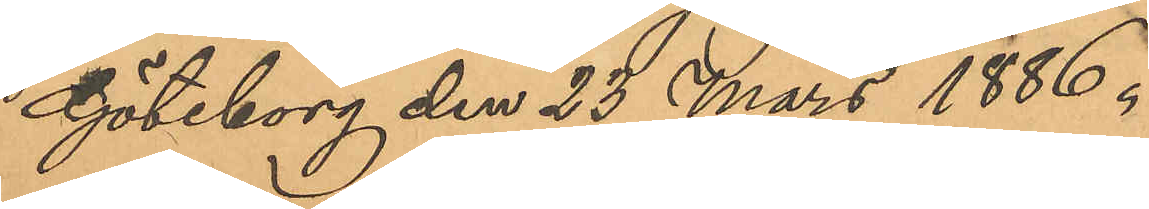Göteborg den 23 Mars 1886.
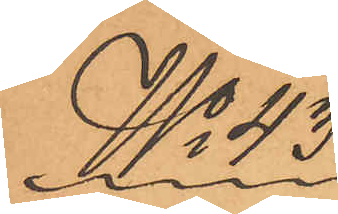No 43
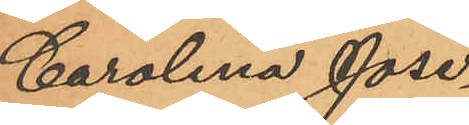Carolina Jose¬
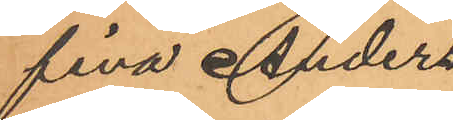fina Anders¬
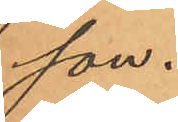son.
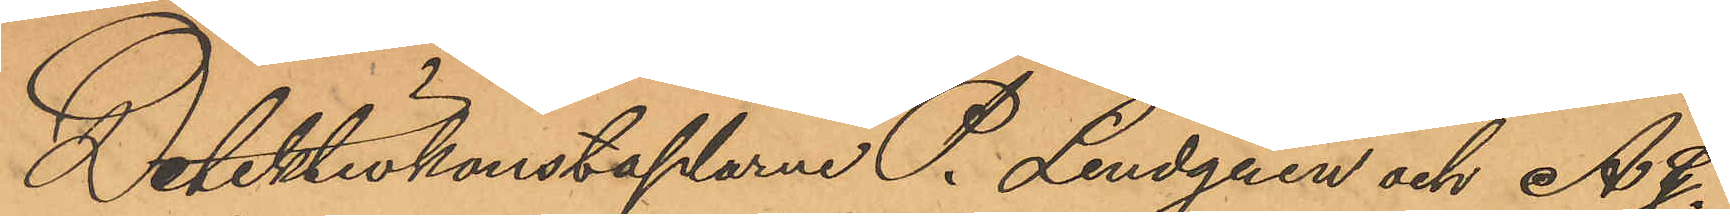Detektivkonstaplarne P. Lindgren och A. G.
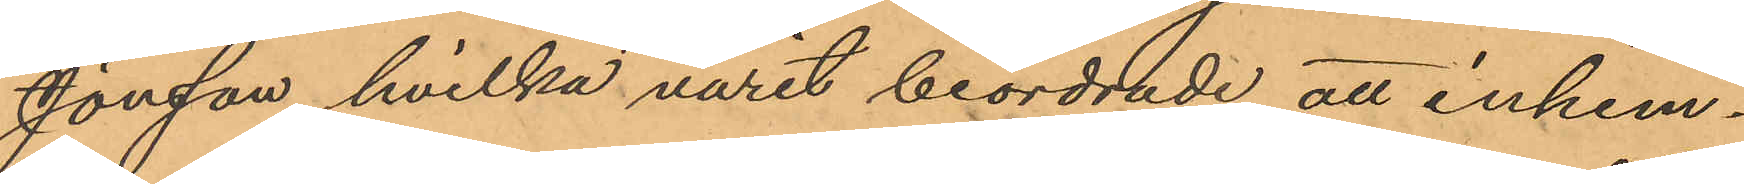Jonsson, hvilka varit beordrade att inhem¬
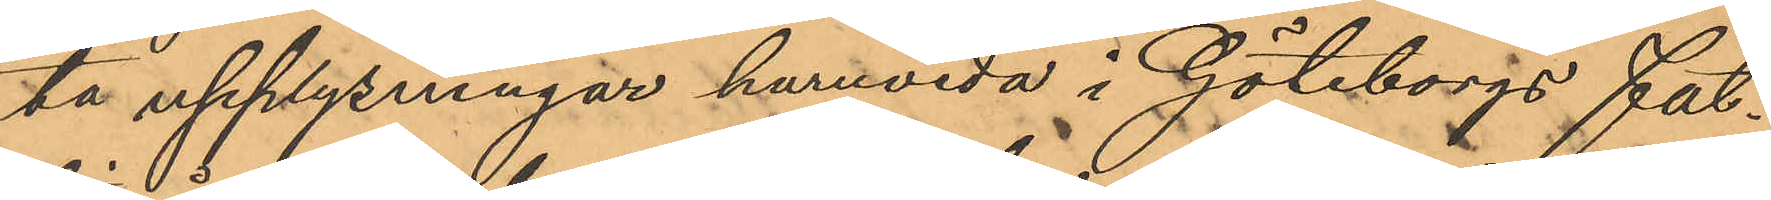ta upplysningar huruvida i Göteborgs fat¬
